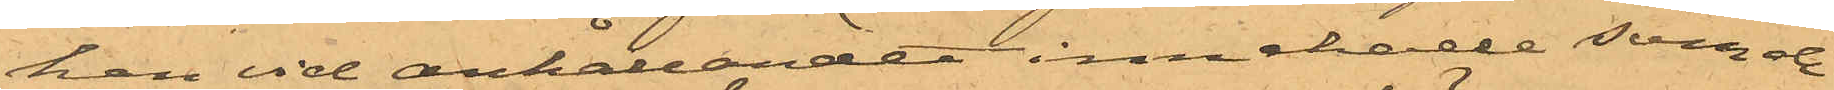han vid anhållandet innehade som de
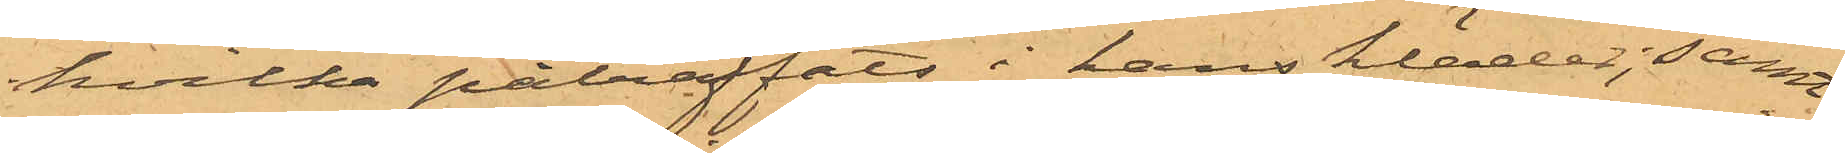hvilka påträffats i hans kläder; samt
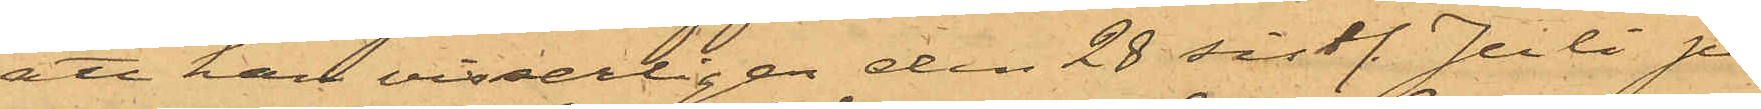att han visserligen den 28 sistl. Juli på
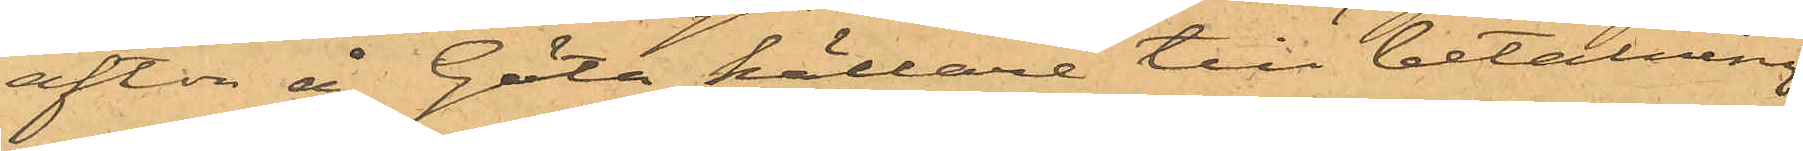afton å Göta källare till betalning
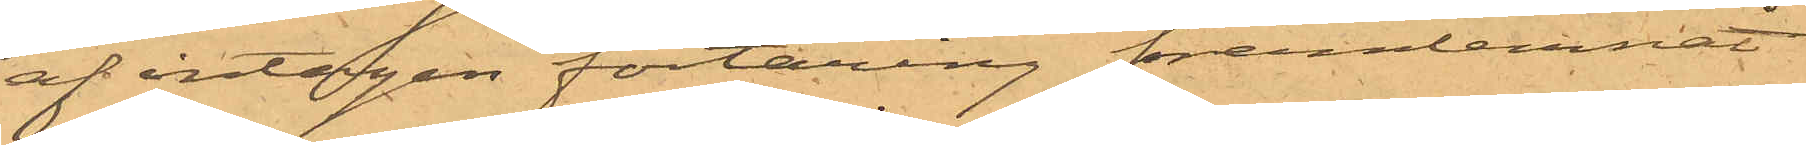af intagen förtäring framlemnat
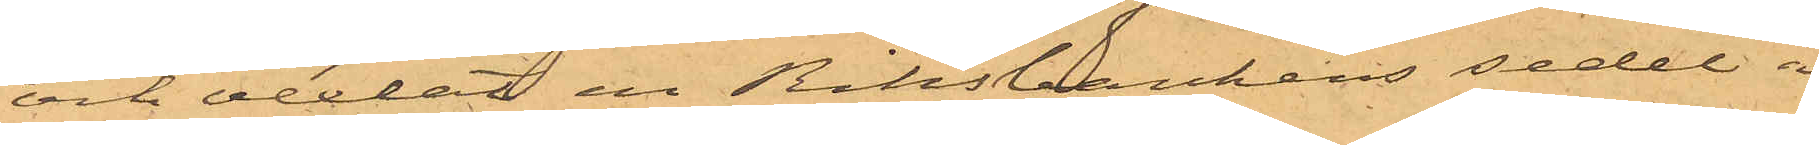och vexlat en Riksbankens sedel å
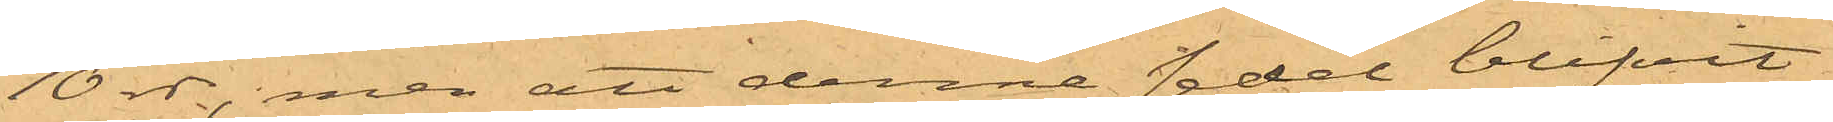10 rdr, men att denna sedel blifvit
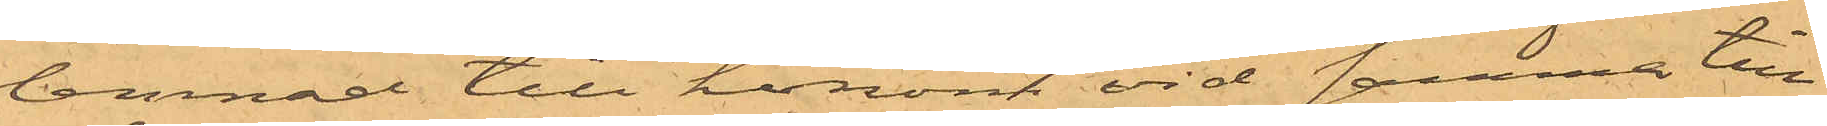lemnad till honom vid samma till¬
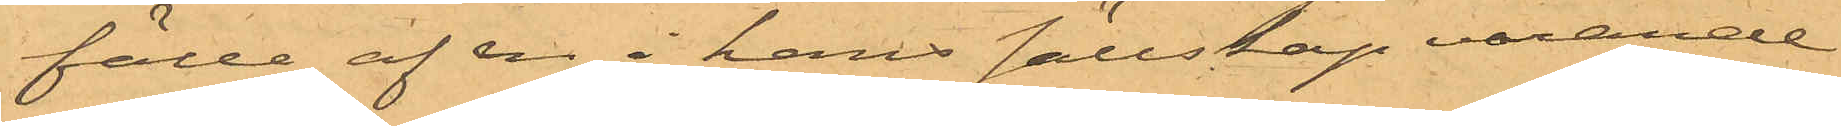fälle af en i hans sällskap varande
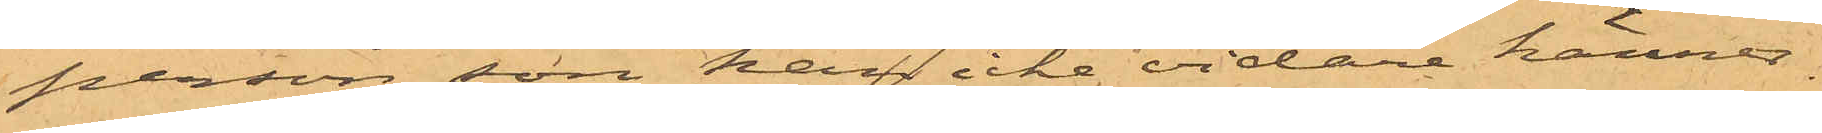person, som han icke vidare känner.
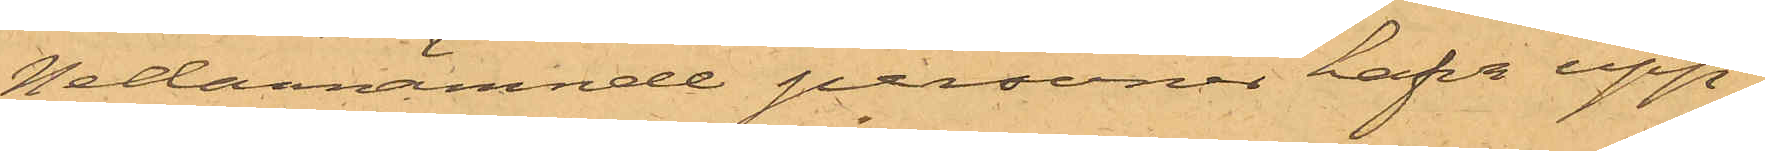Nedannämnde personer hafva upp¬
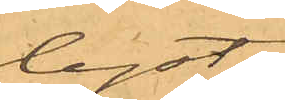lyst:
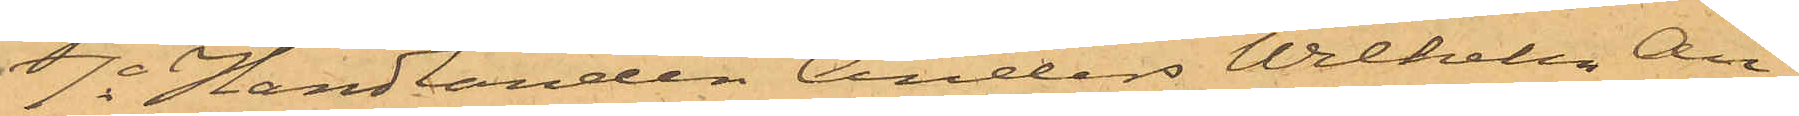1o Handlanden Anders Wilhelm An¬
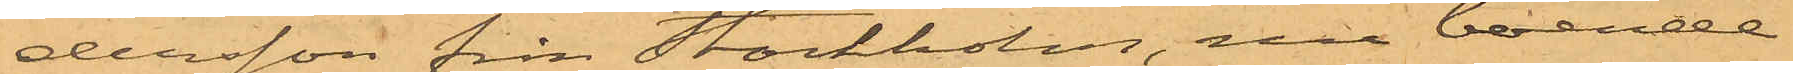dersson från Stockholm, nu boende
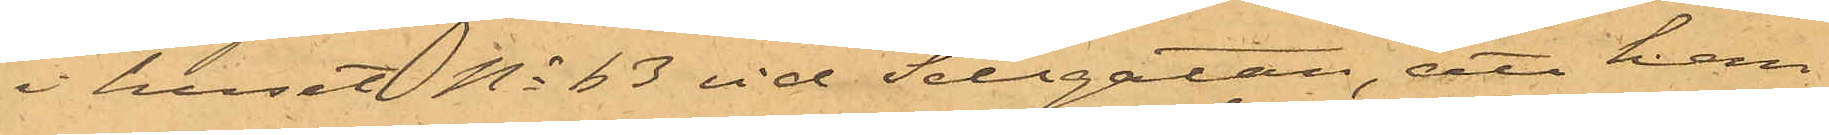i huset No 63 vid Sillgatan, att han
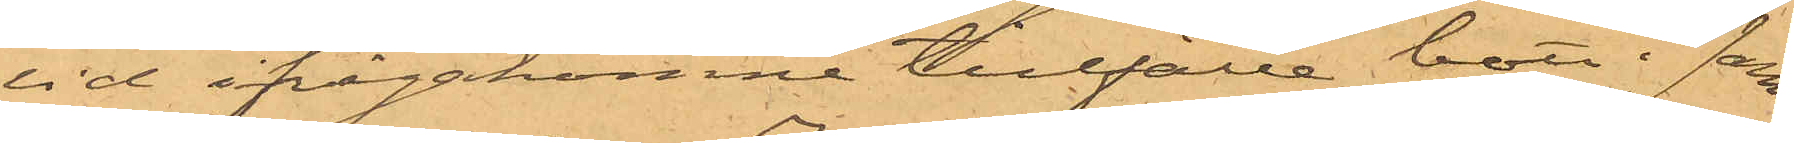vid ifrågakomne tillfälle bott i sam¬
